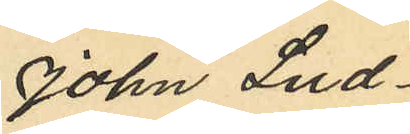John Lud¬
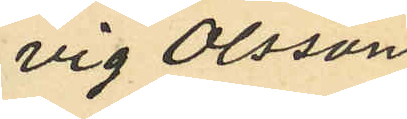vig Olsson
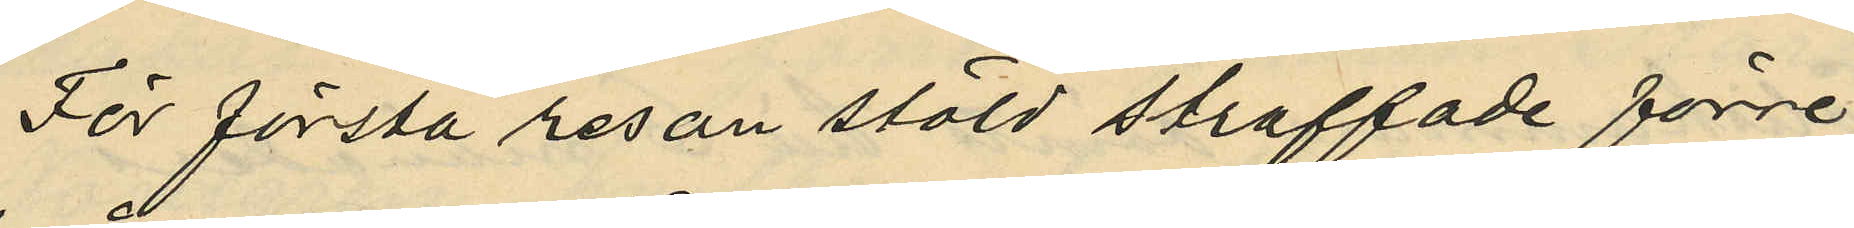För första resan stöld straffade förre
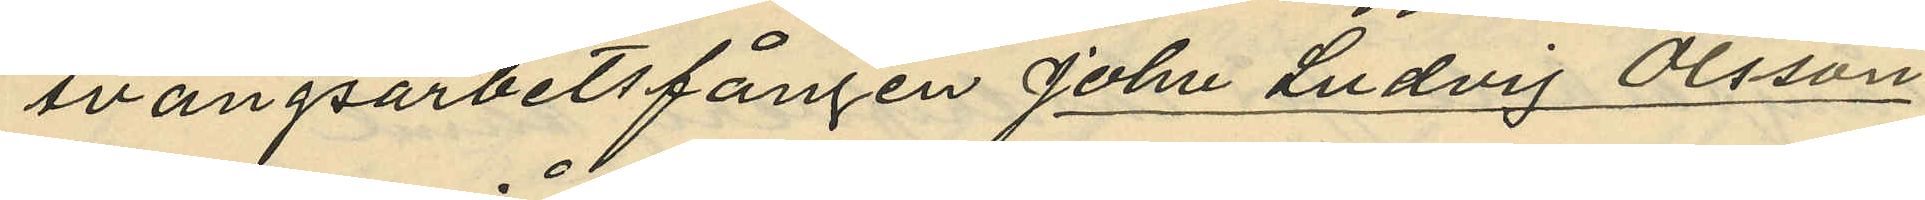tvångsarbetsfången John Ludvig Olsson
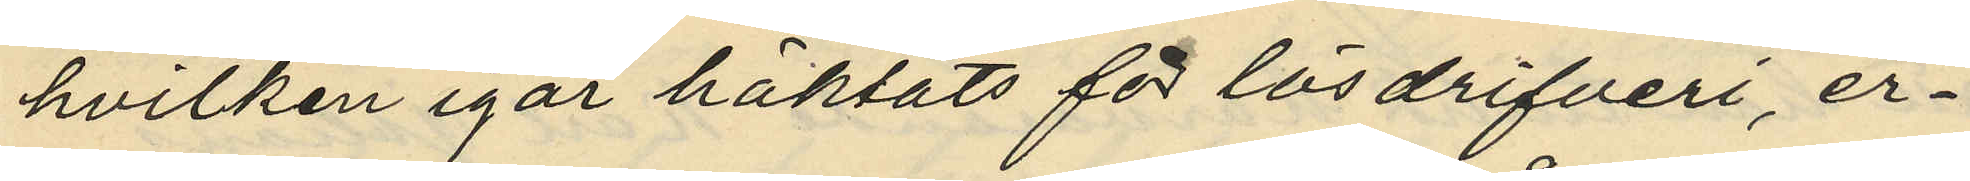hvilken igår häktats för lösdrifveri, er¬
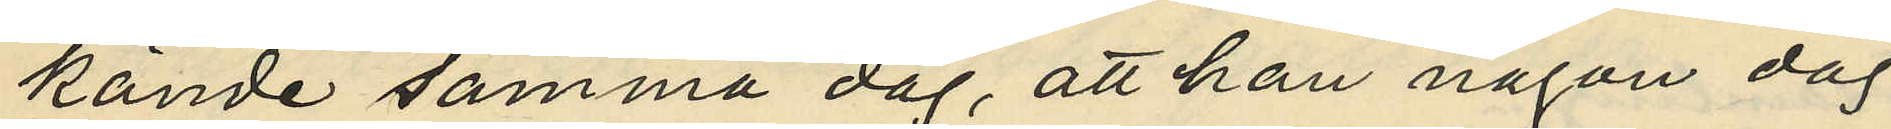kände samma dag, att han någon dag
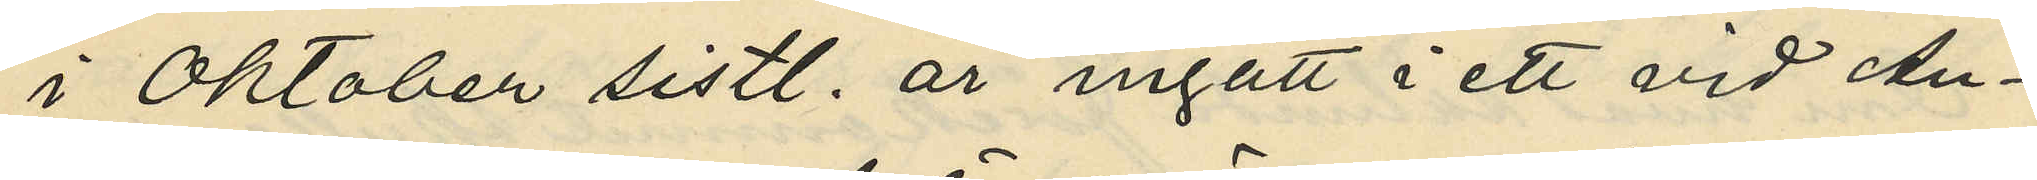i Oktober sistl. år ingått i ett vid An¬
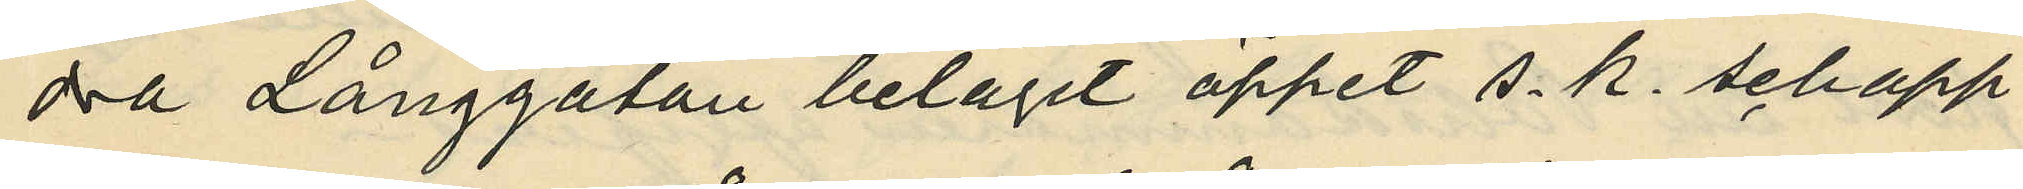dra Långgatan beläget öppet s. k. schapp
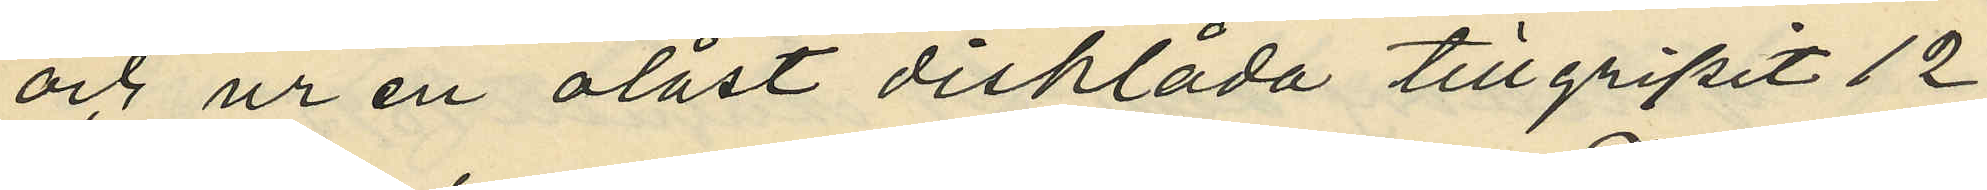och ur en olåst disklåda tillgripit 12
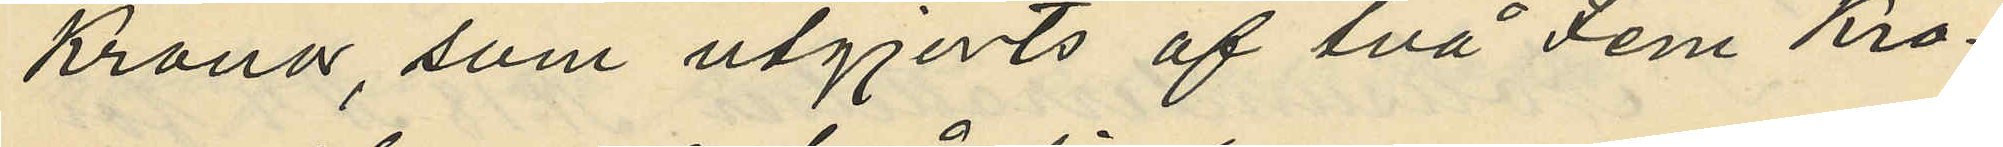Kronor, som utgjorts af två Fem Kro¬
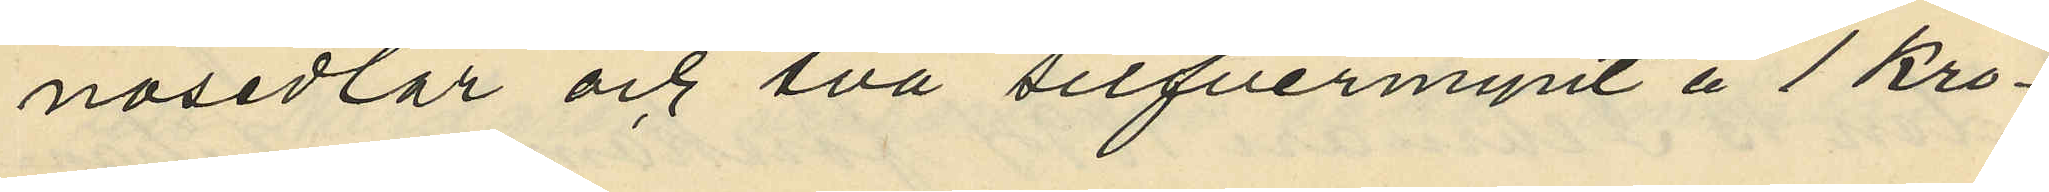nosedlar och två silfvermynt å 1 kro¬
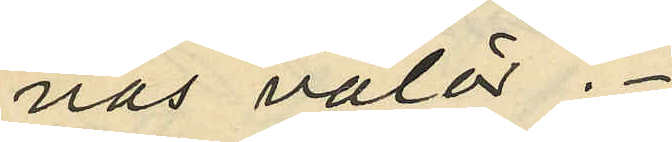nas valör.
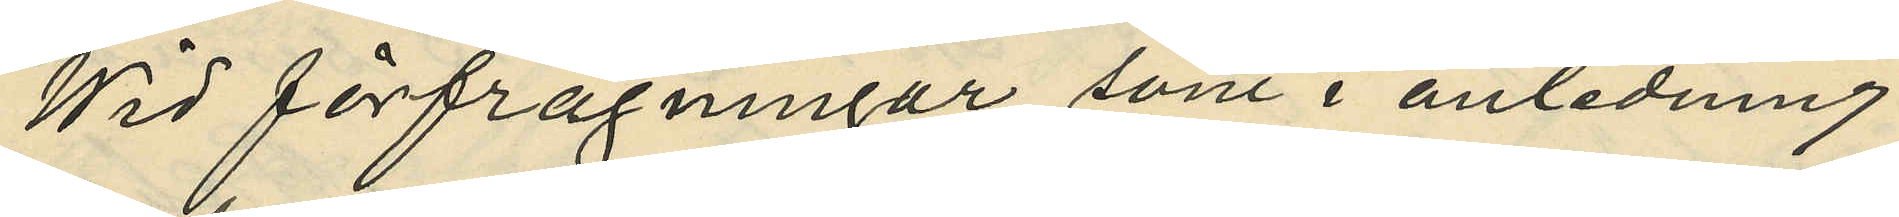Wid förfrågningar som i anledning
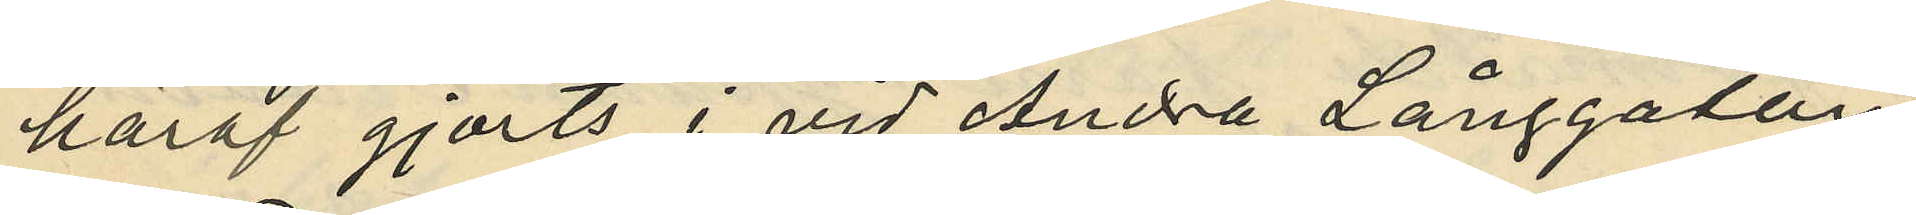häraf gjorts i vid Andra Långgatan
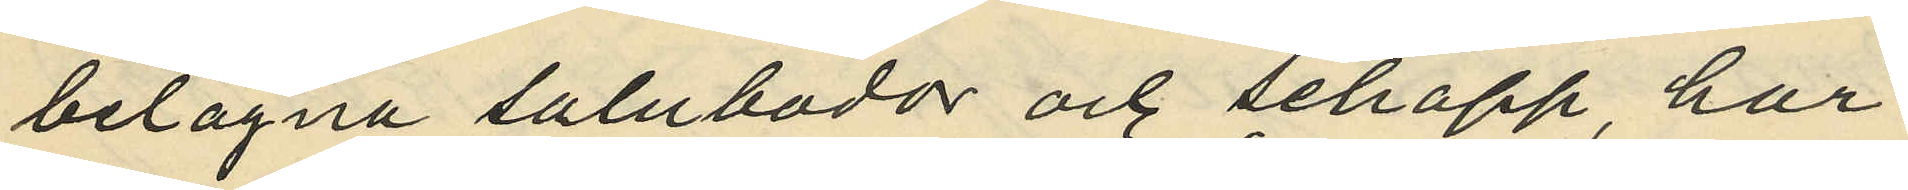belägna salubodar och schapp, har
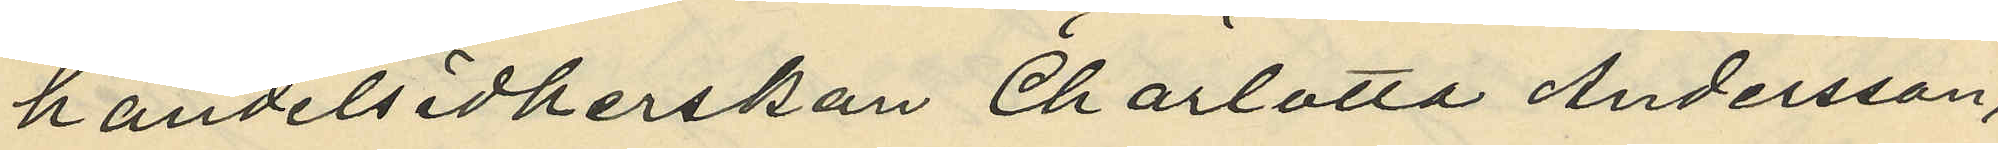handelsidkerskan Charlotta Andersson,
